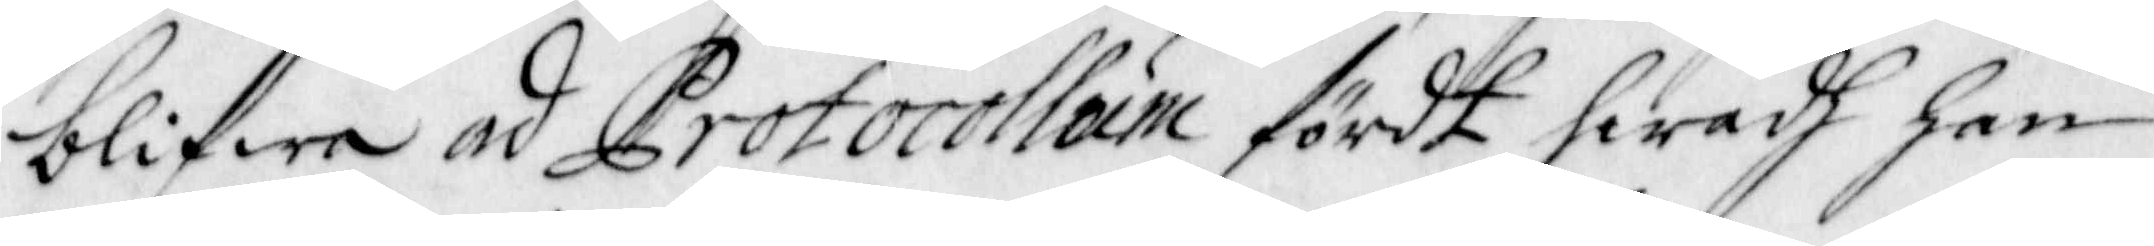blifwa ad Protocollum fördt hwad han
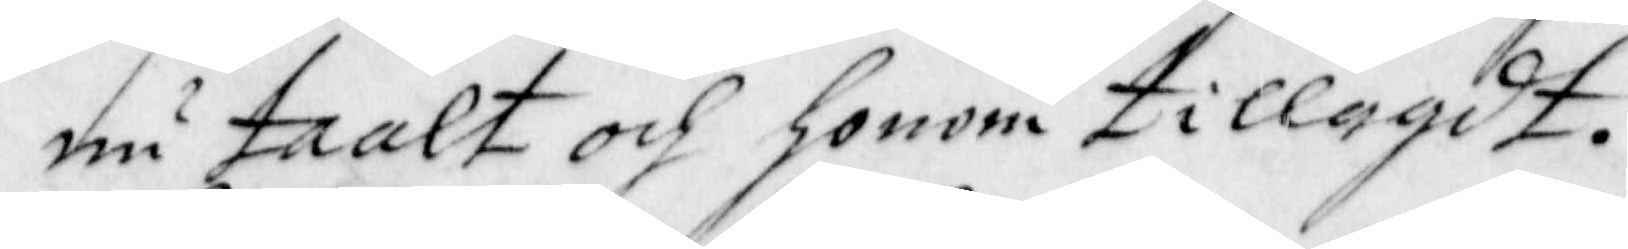nu taalt och honom tillagdt.
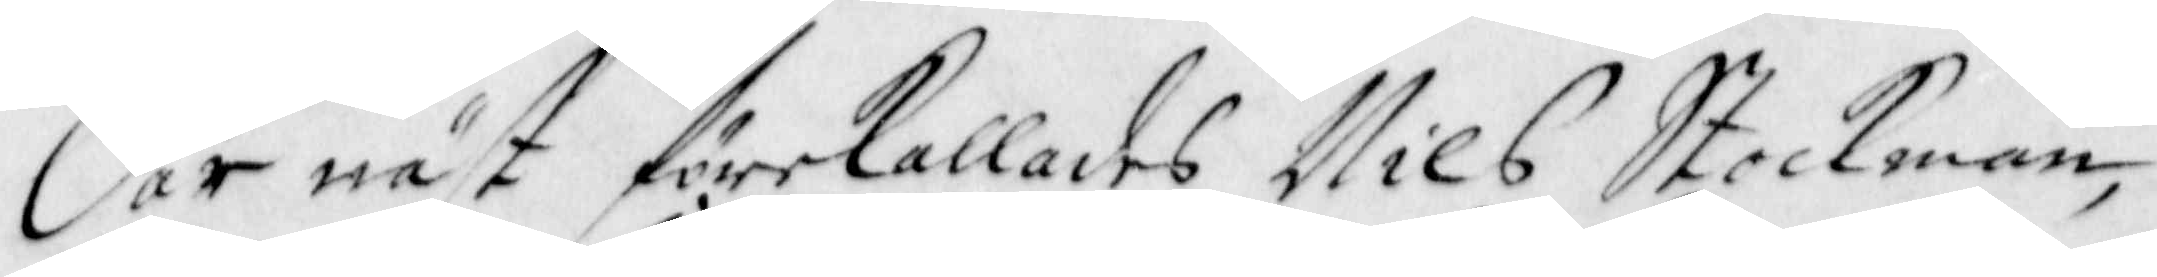Där näst förekallades Nils Stockman,
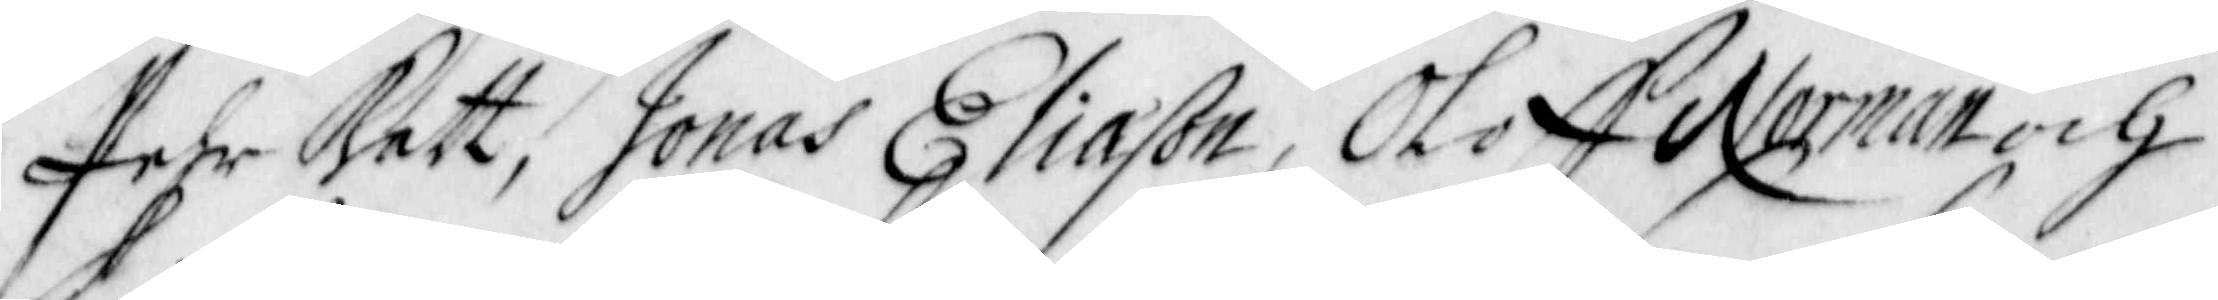Pehr Katt, Jonas Eliason, Oloff Norman och
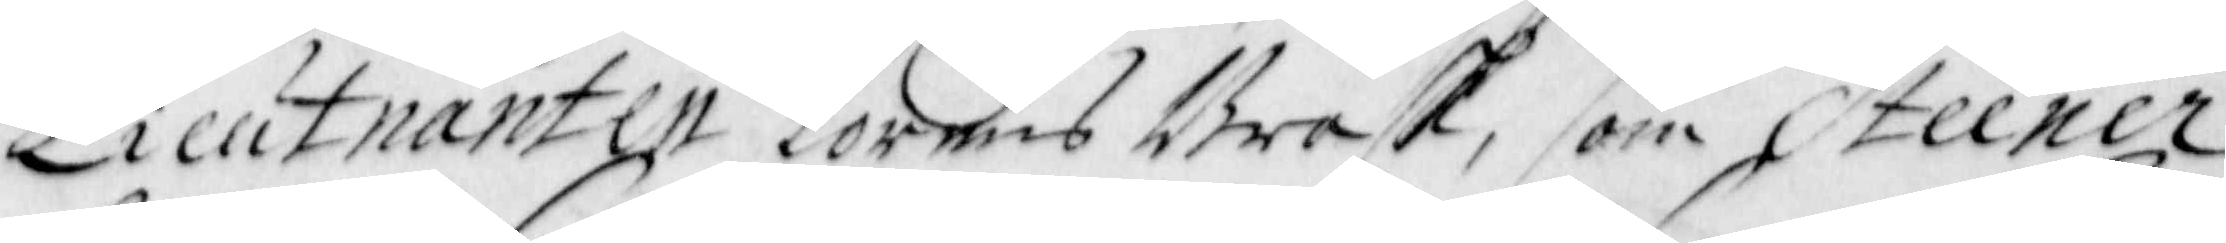Lieutnanten Lorens Brask, som Steener
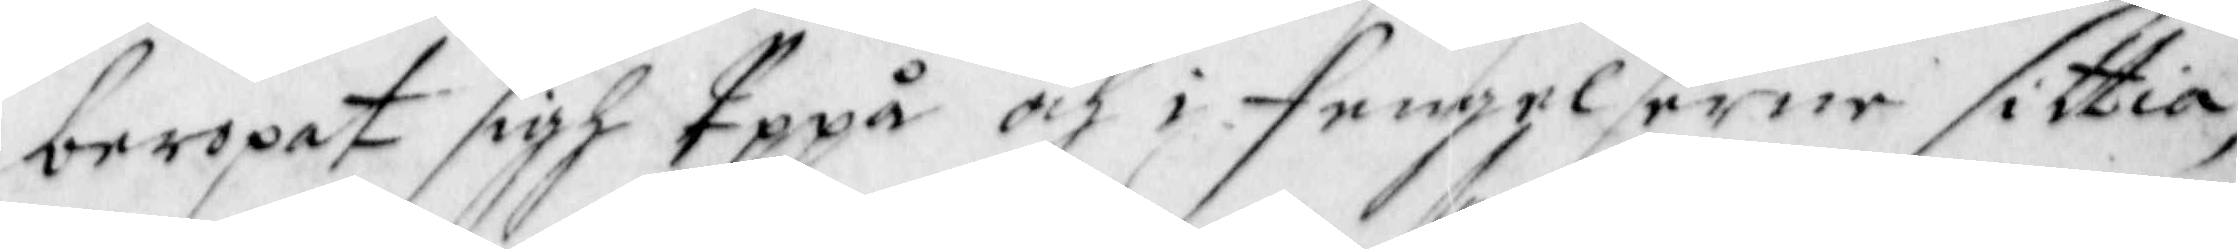beropat sigh Uppå och i Fengelserne sittia,
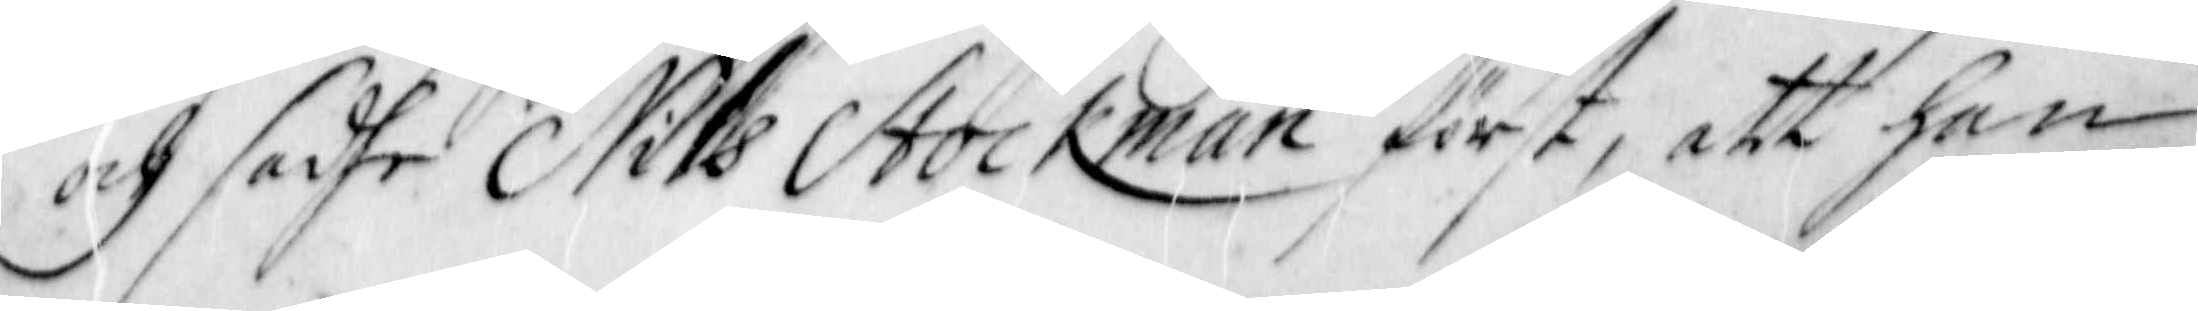och sadhe Nils Stockman först, att han
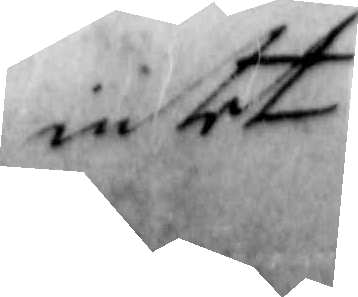intet
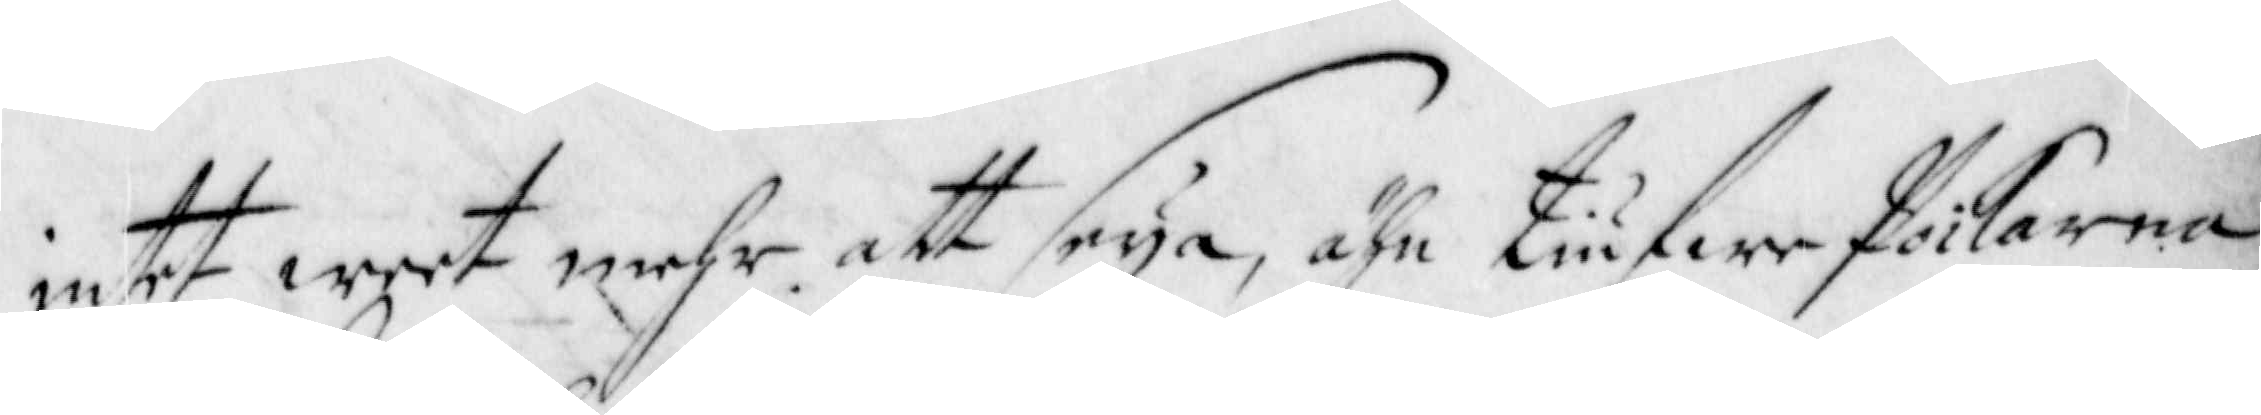intet weet mehr att seya, ähn tiufwe Poikarna
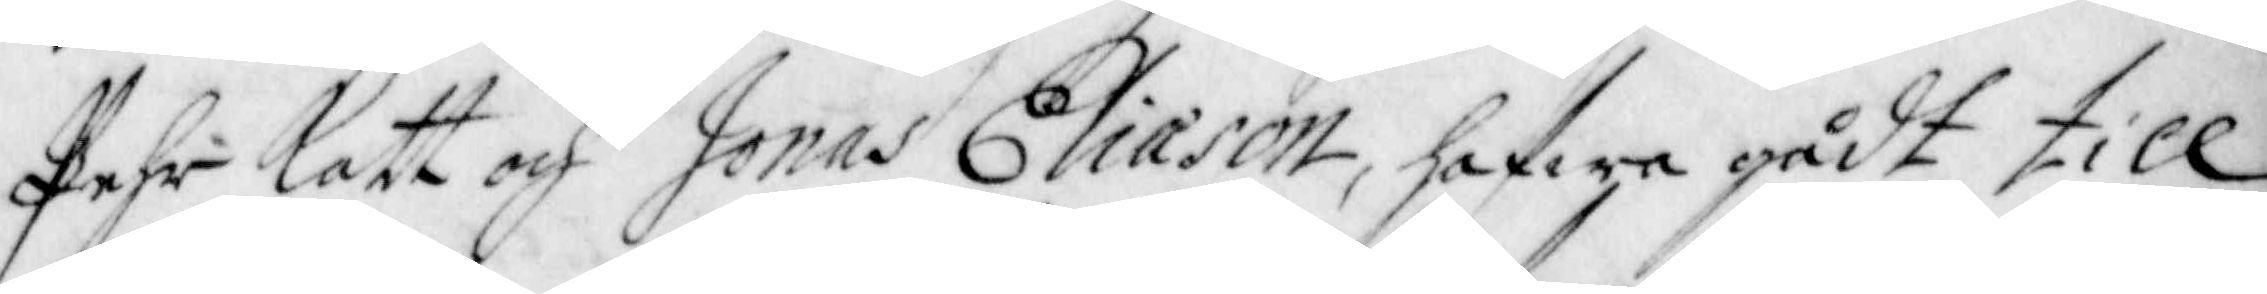Pehr Katt och Jonas Eliason, hafwa gådt till
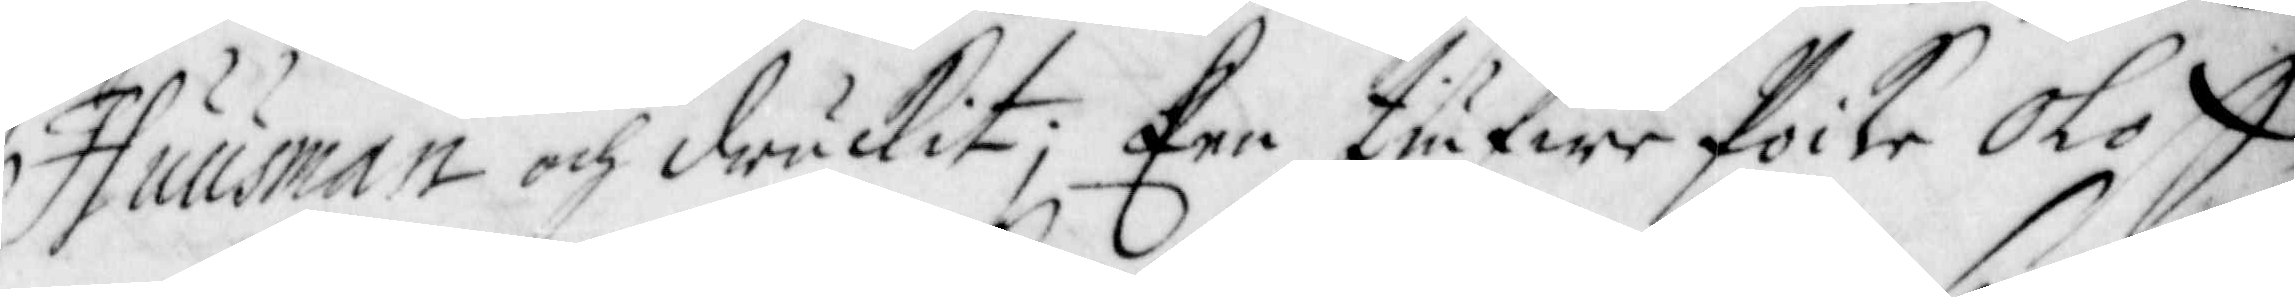Huusman och druckit; Een tiufwe Poike Oloff
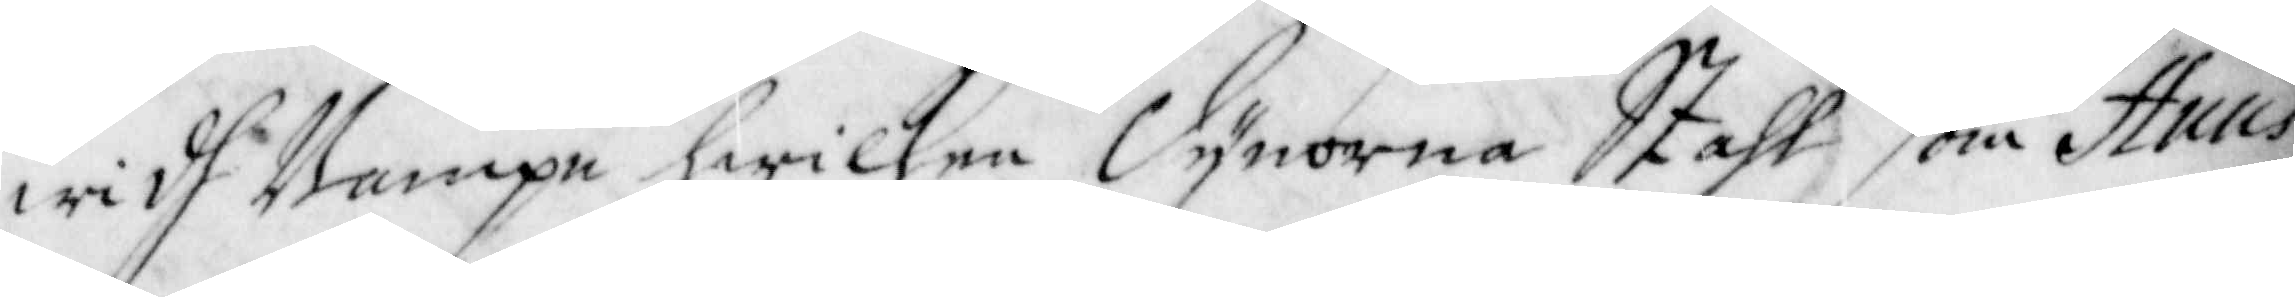widh Nampn hwilken Dynorna Stahl som Huus¬
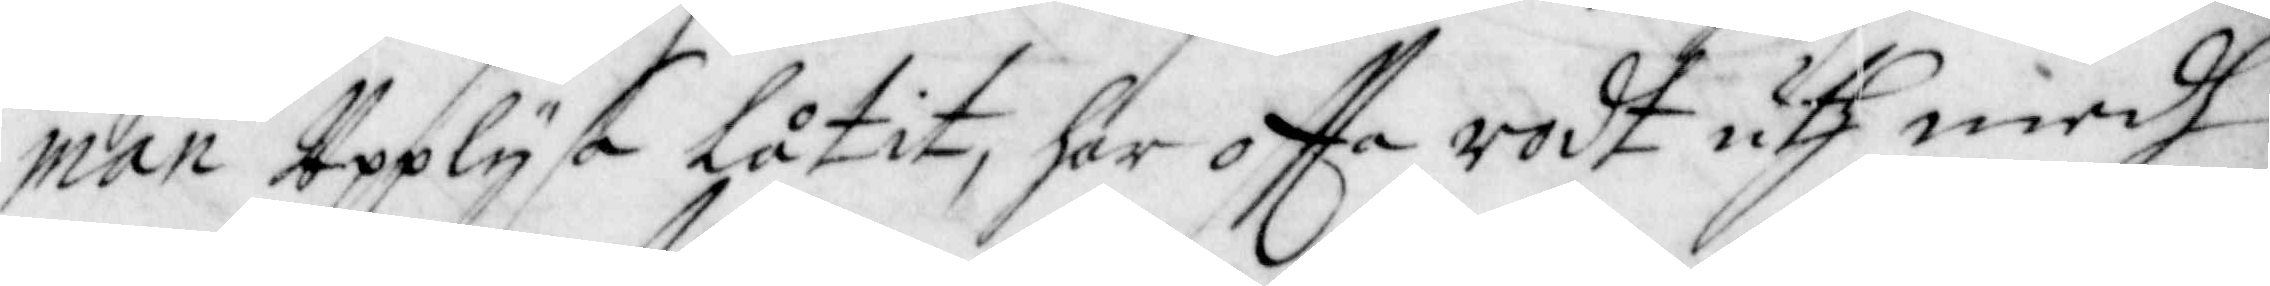man Upplysa låtit, har offta rodt uth medh
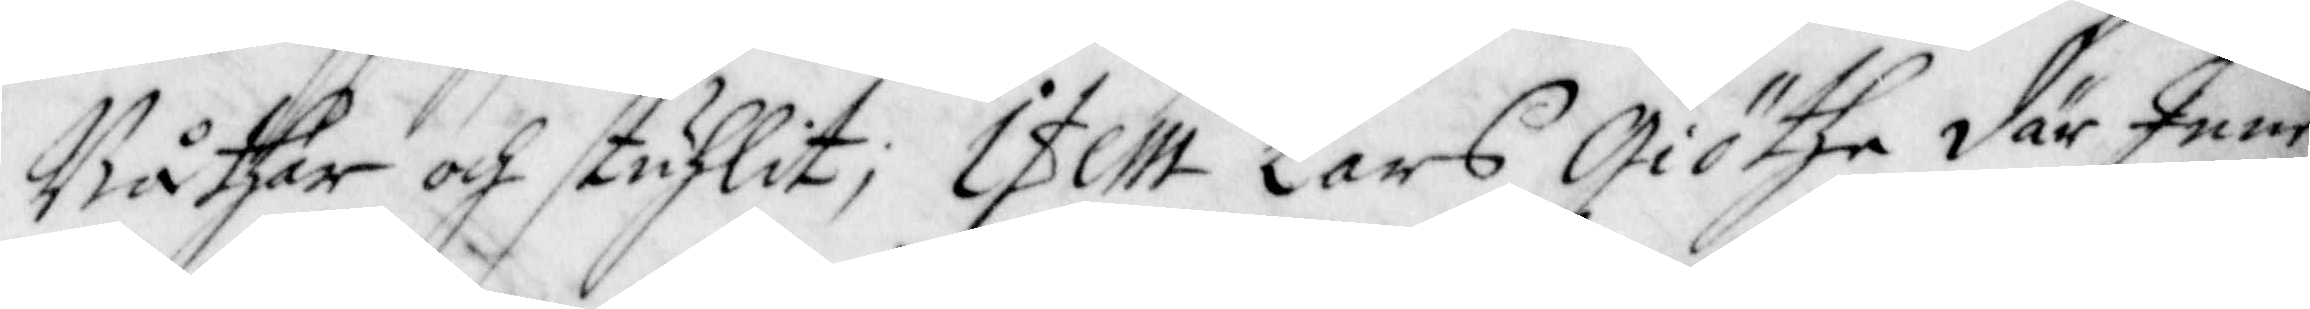Båthar och stuhlit; Item Lars Giöthe där Inne
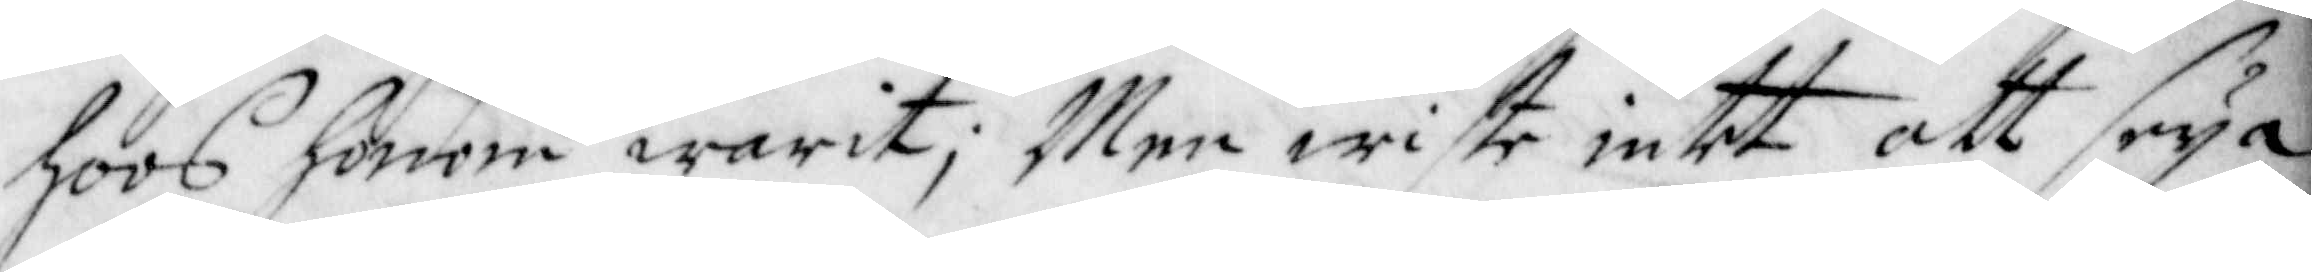hoos honom warit; Men wiste intet att seya
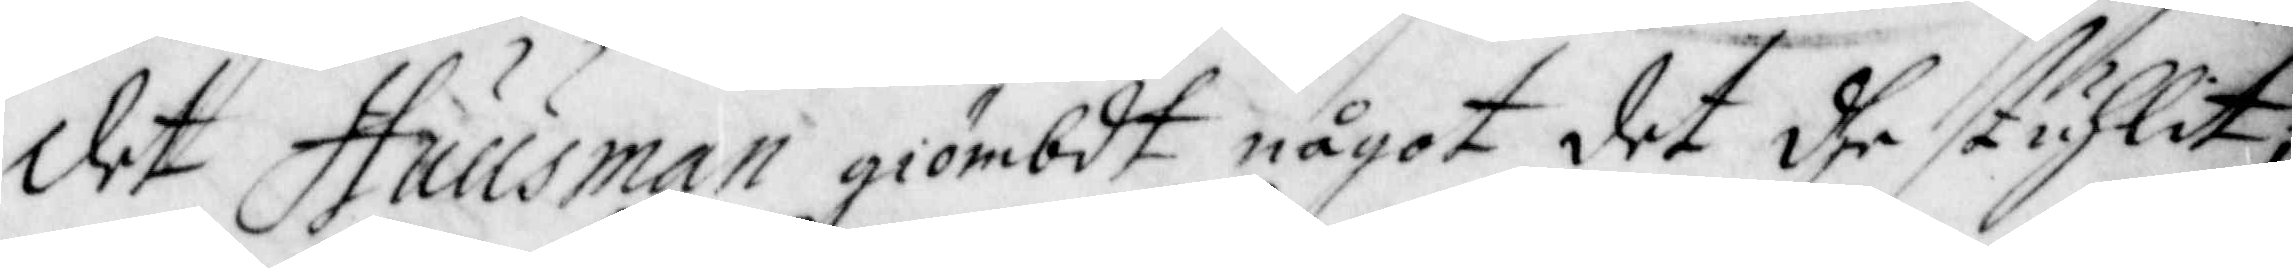det Huusman giömbdt något det dhe stuhlit,
